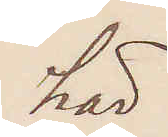här
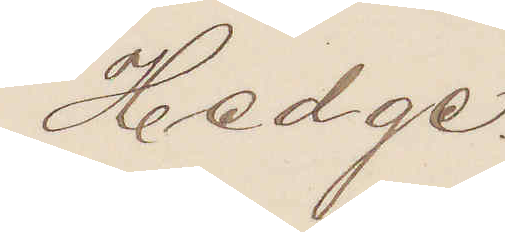Hedge.
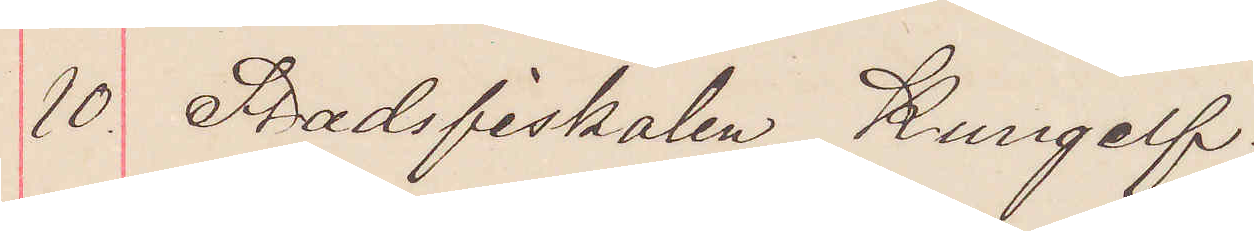10. Stadsfiskalen Kungelf.
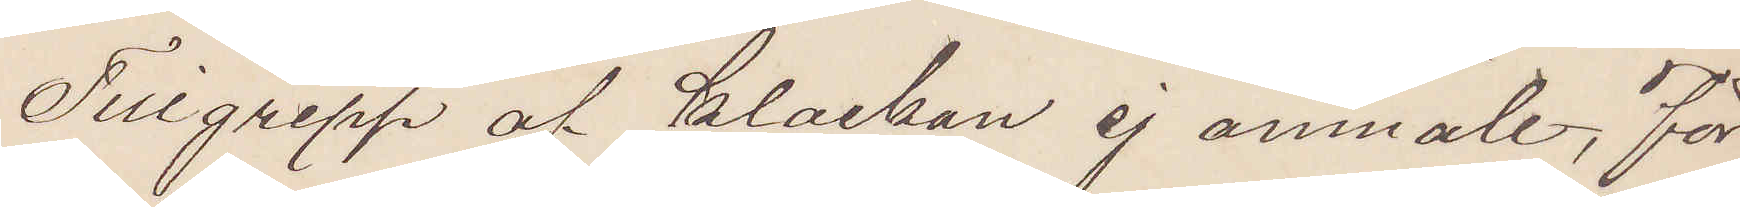Tillgrepp af klockan ej anmält, för
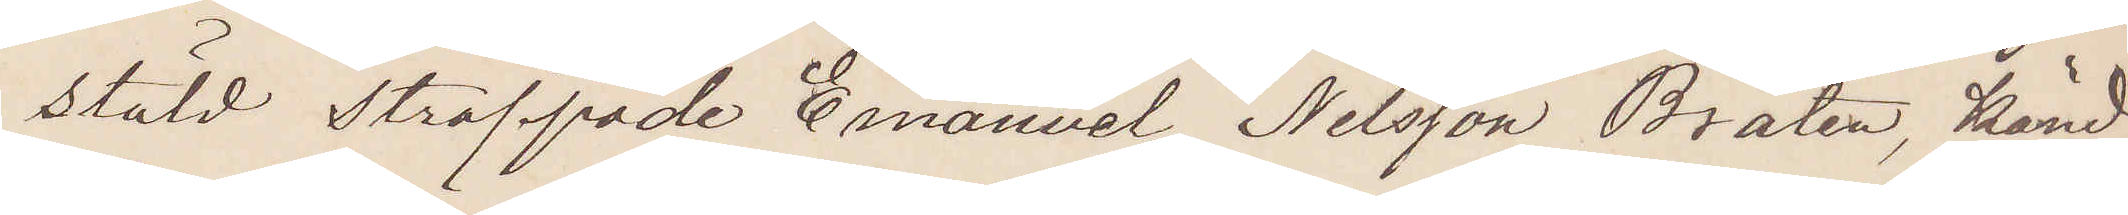stöld straffade Emanuel Nilsson Bråten, känd
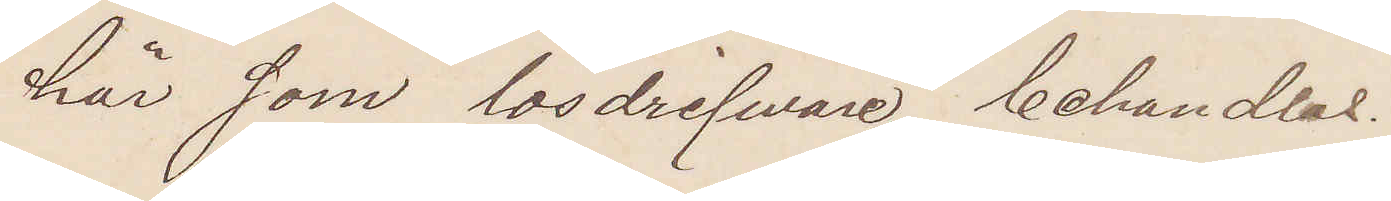här som lösdrifware behandlas.
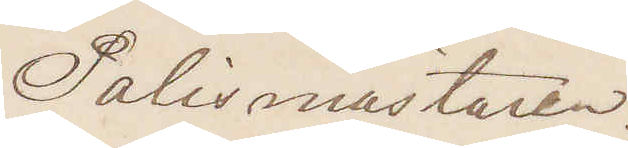Polismästaren.
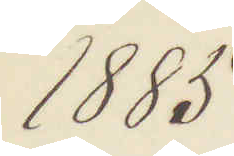1885
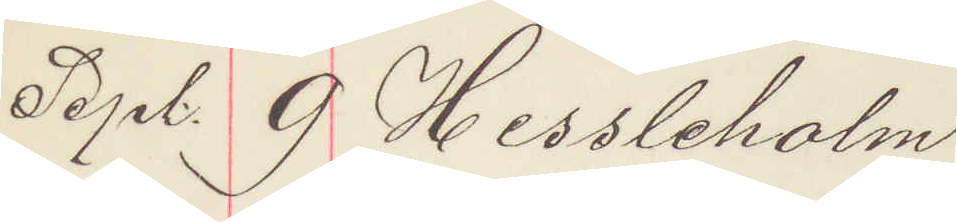Sept. 9. Hessleholm
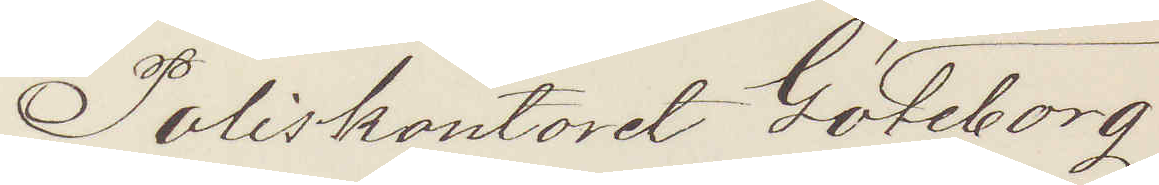Poliskontoret Göteborg
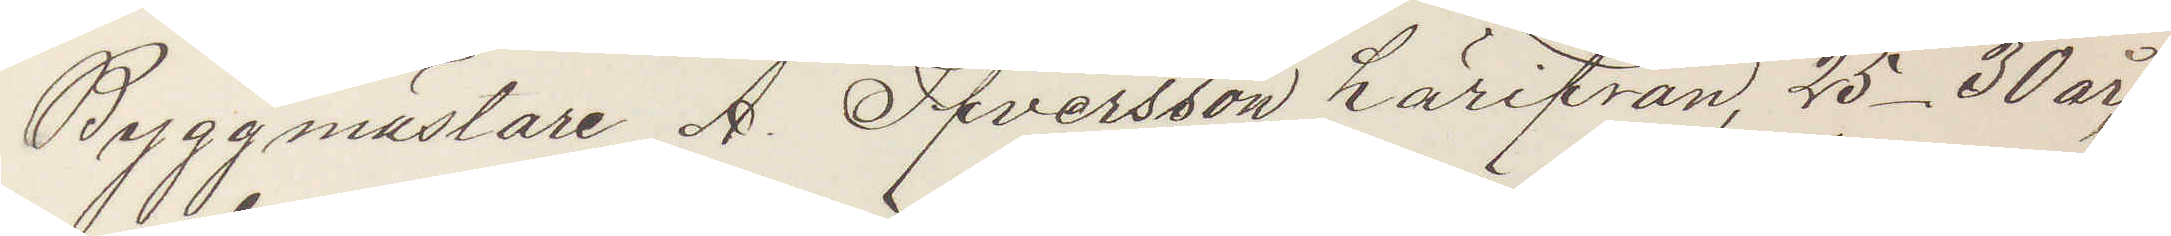Byggmästare A. Sifversson härifrån, 25-30 år
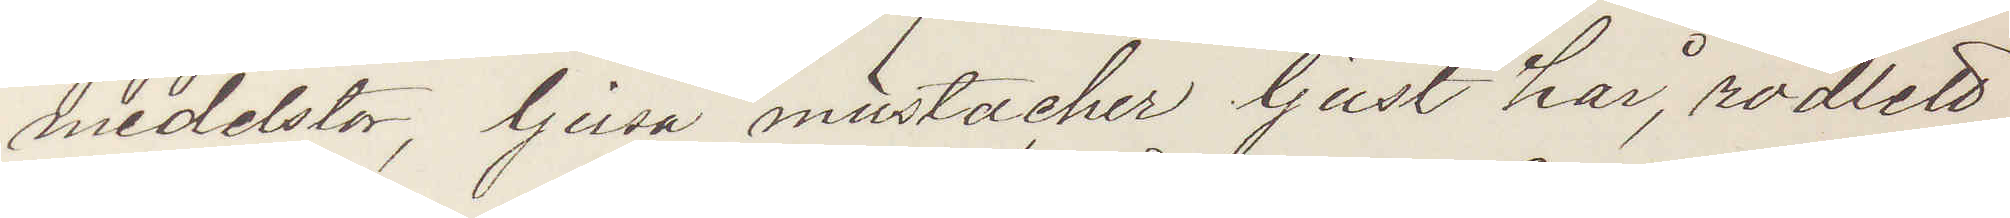medelstor, ljusa mustacher ljust hår, rödlett
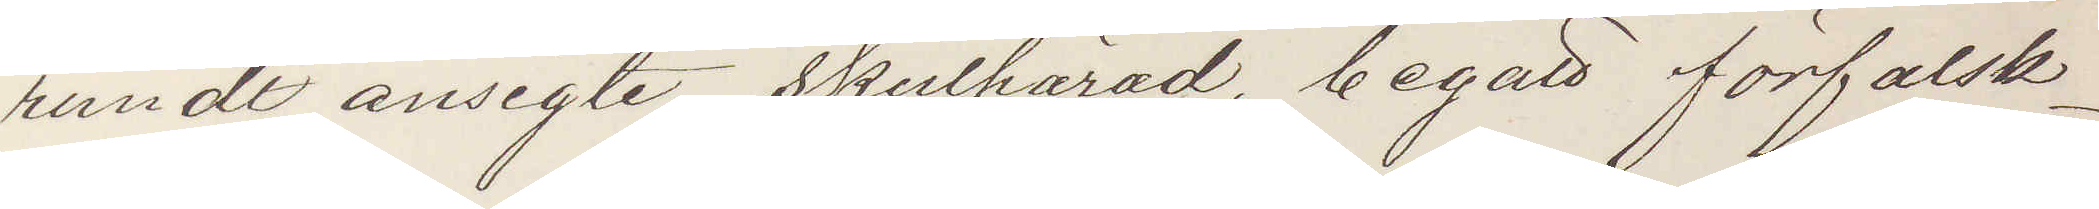rundt ansigte skulhärad, begått förfalsk¬
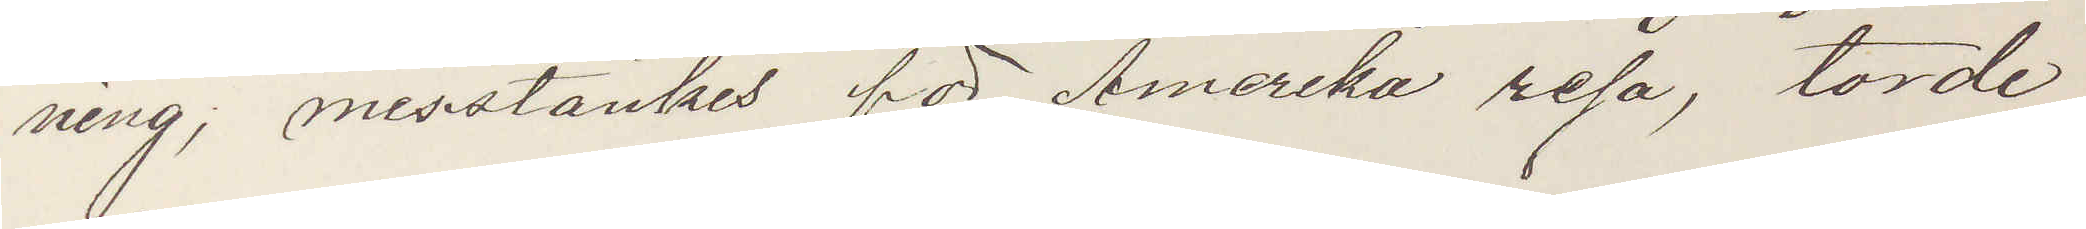ning, misstänkes för Amerika resa, torde
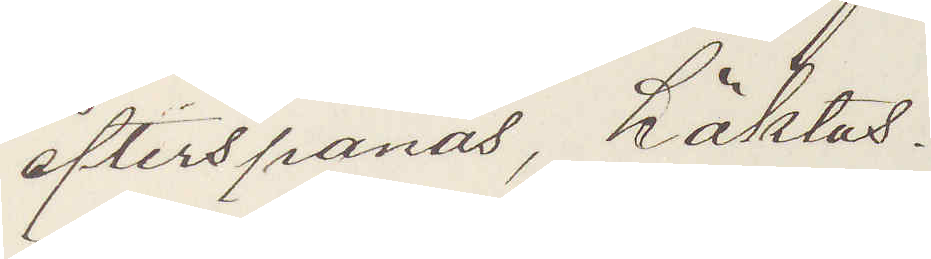efterspanas, häktas.
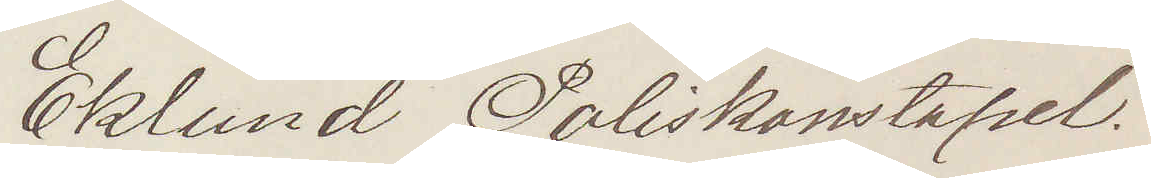Eklund Poliskonstapel
